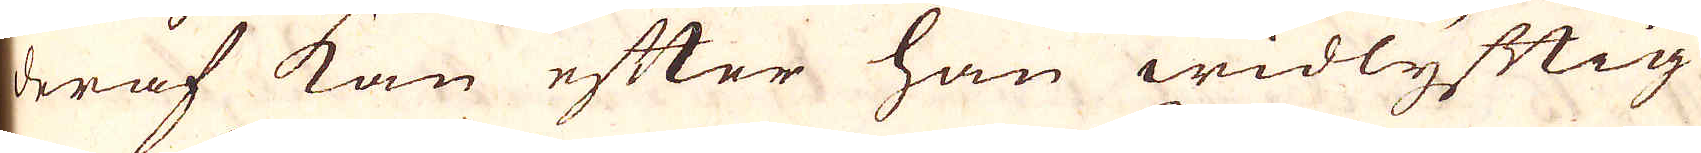deraf kan efter han widlyftig
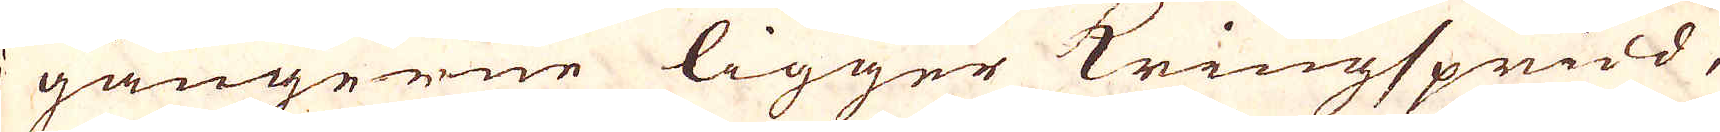i gångerne ligger Kringspridd,
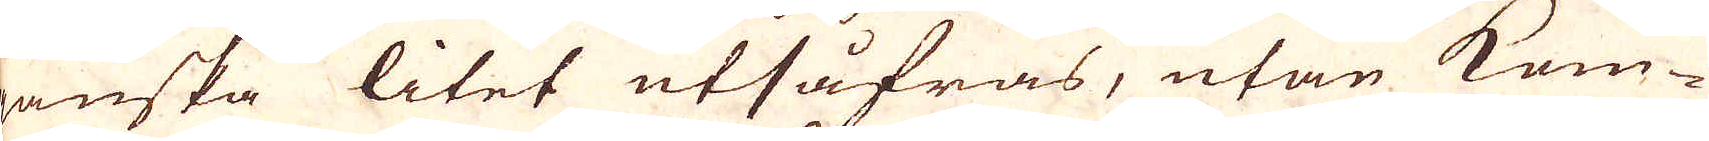ganska litet utsåfras, utan kom-
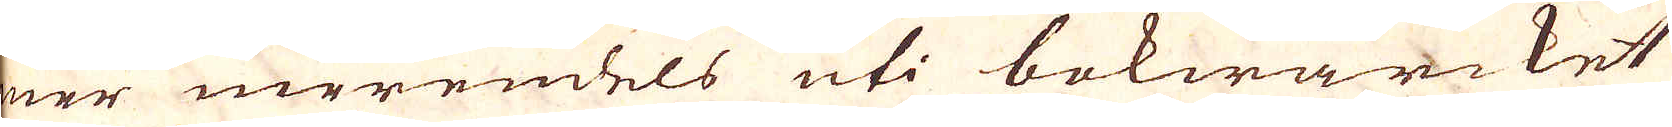ner merendels uti bokwärcket
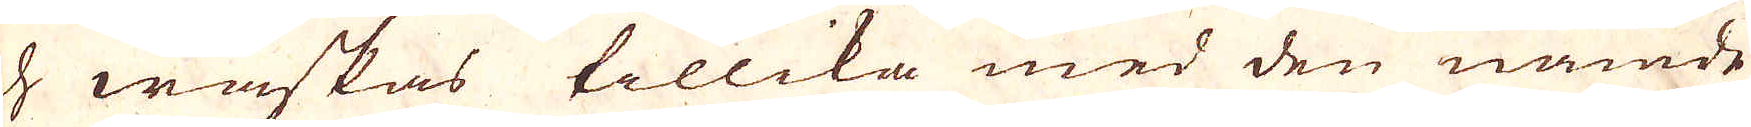och waskas tillika med den nämde
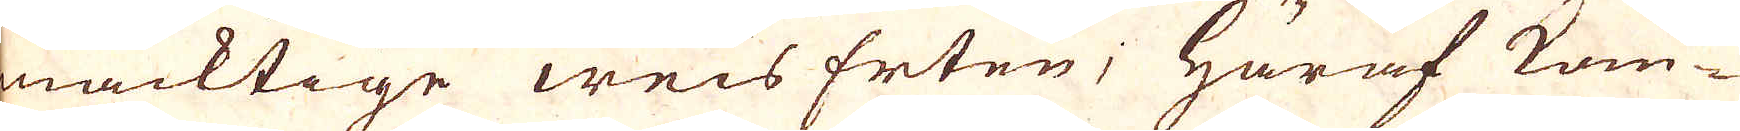mäcktige weis Erten; Häraf kom-
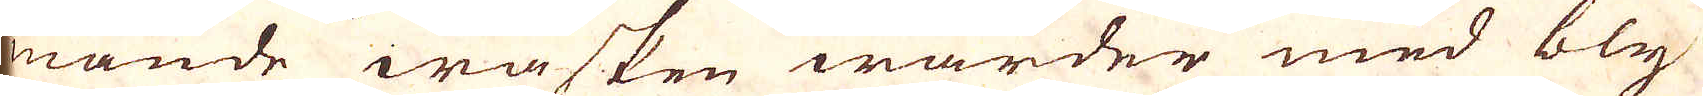mande wasken warder med bly
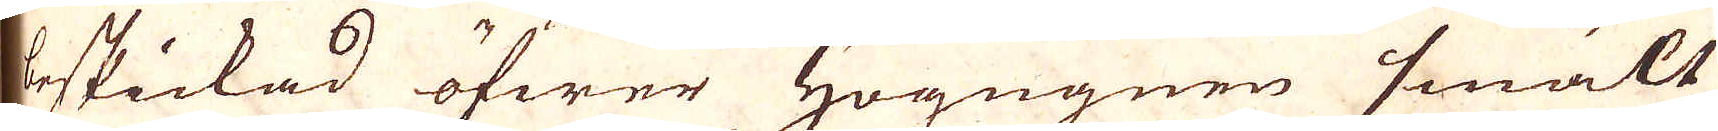beskickad öfwer Högugnen smält
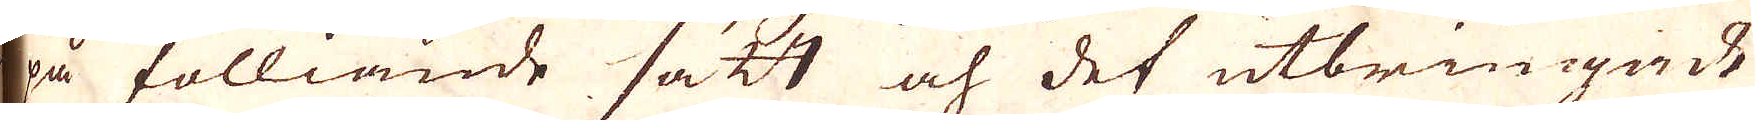på fölliande sätt och det utbringade
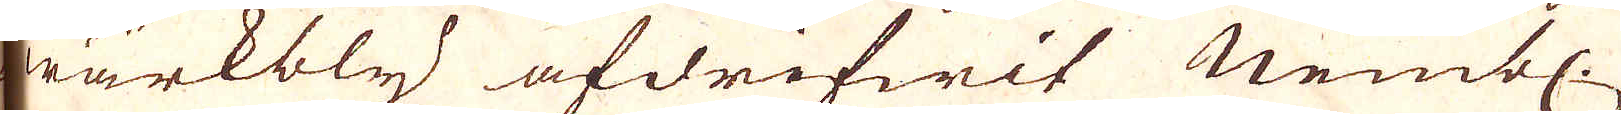wärkbly afdrifwit Nembl.
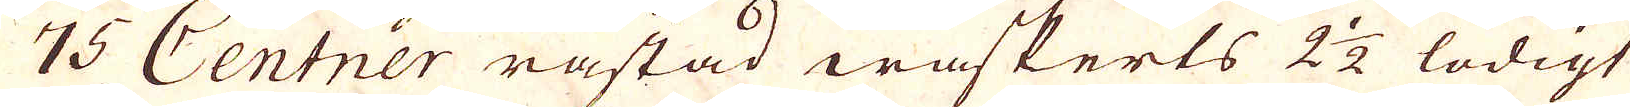75 Centner råstad waskerts 2 1/2 lödigt
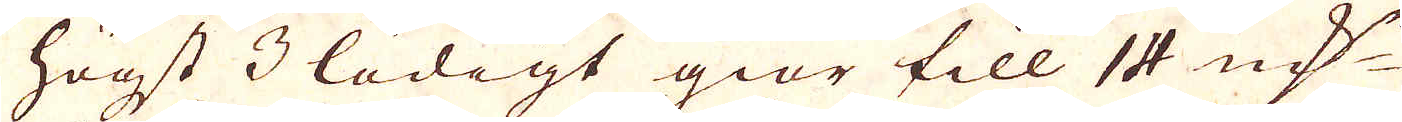högst 3 lödigt giör till 14 qv:r
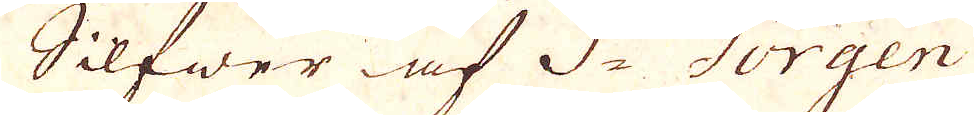Silfwer af St Görgen
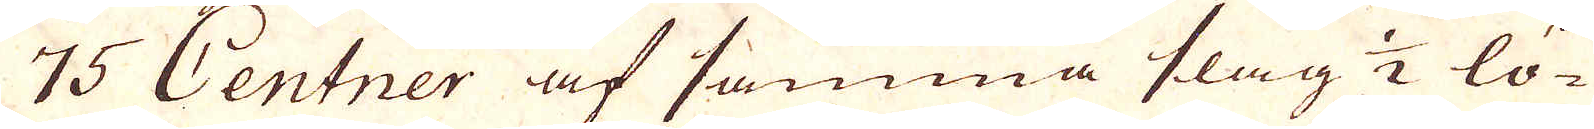75 Centner af samma slag 1/2 lö-
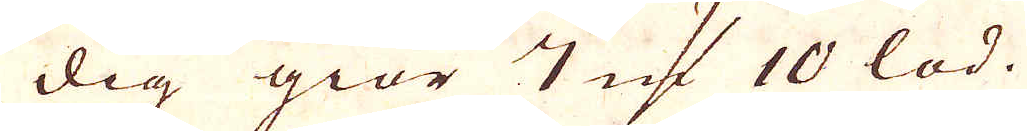dig giör 7 qv:r 10 lod.
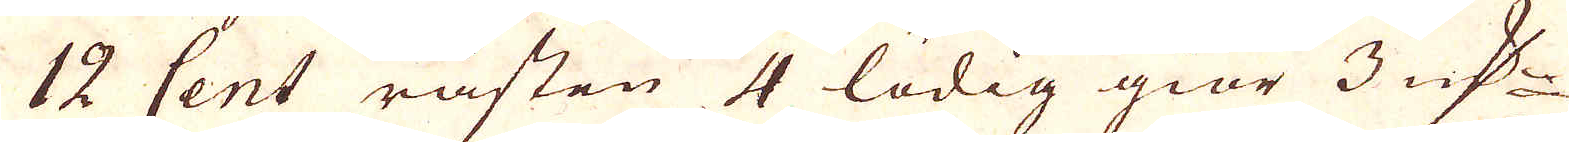12 Cent råsten 4 lödig giör 3 qv:r
